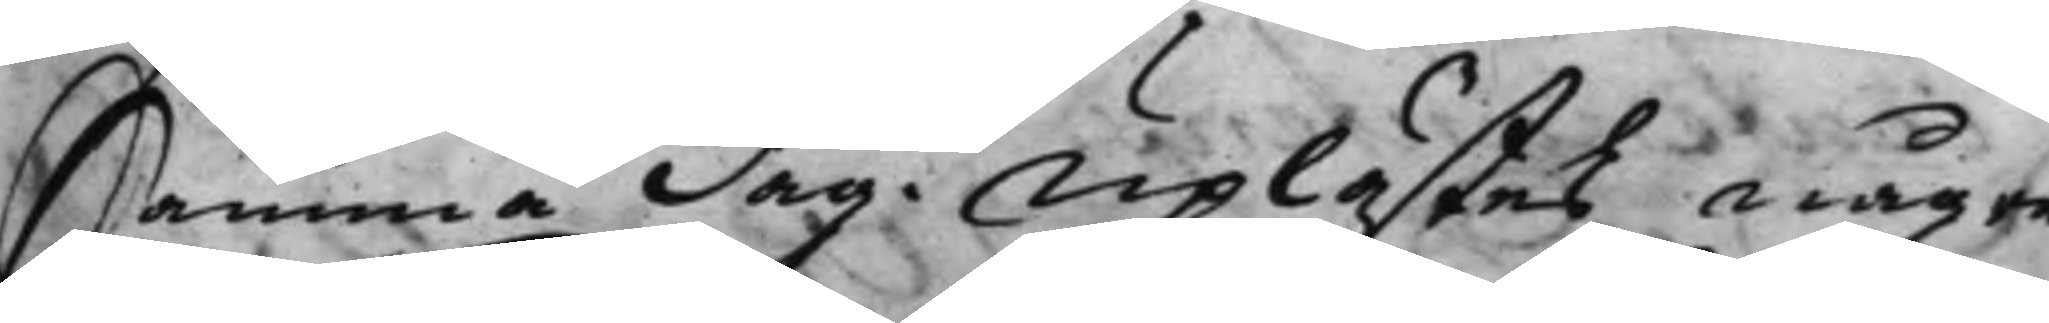Samma dag. Uplästes någre
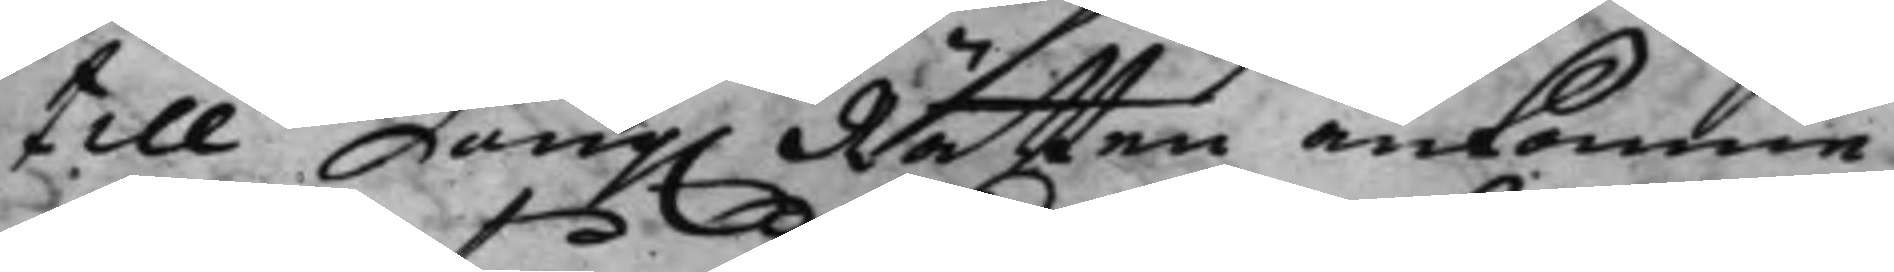till Kong. Rätten ankomne 
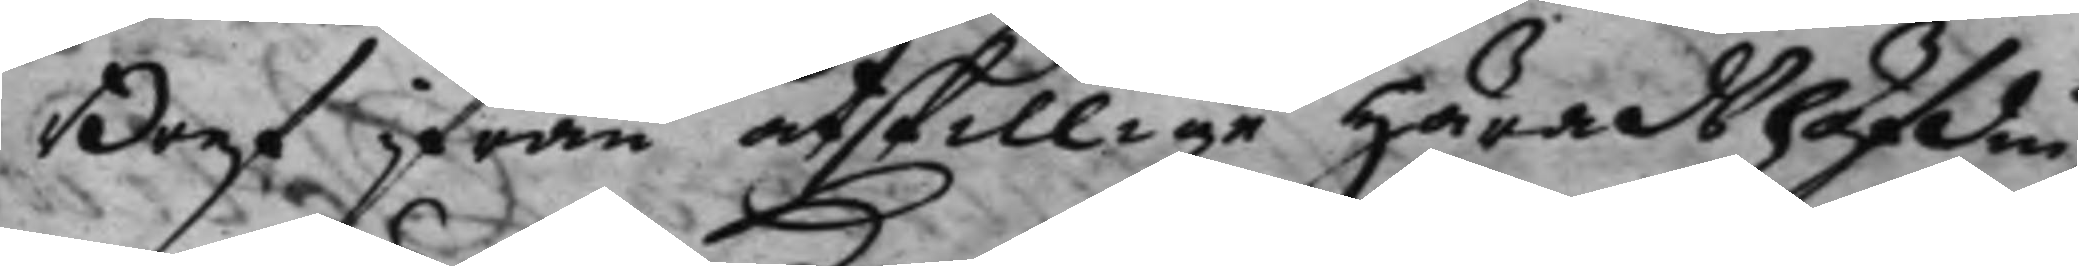Bref ifrån åtskillige Häradshöfdin¬
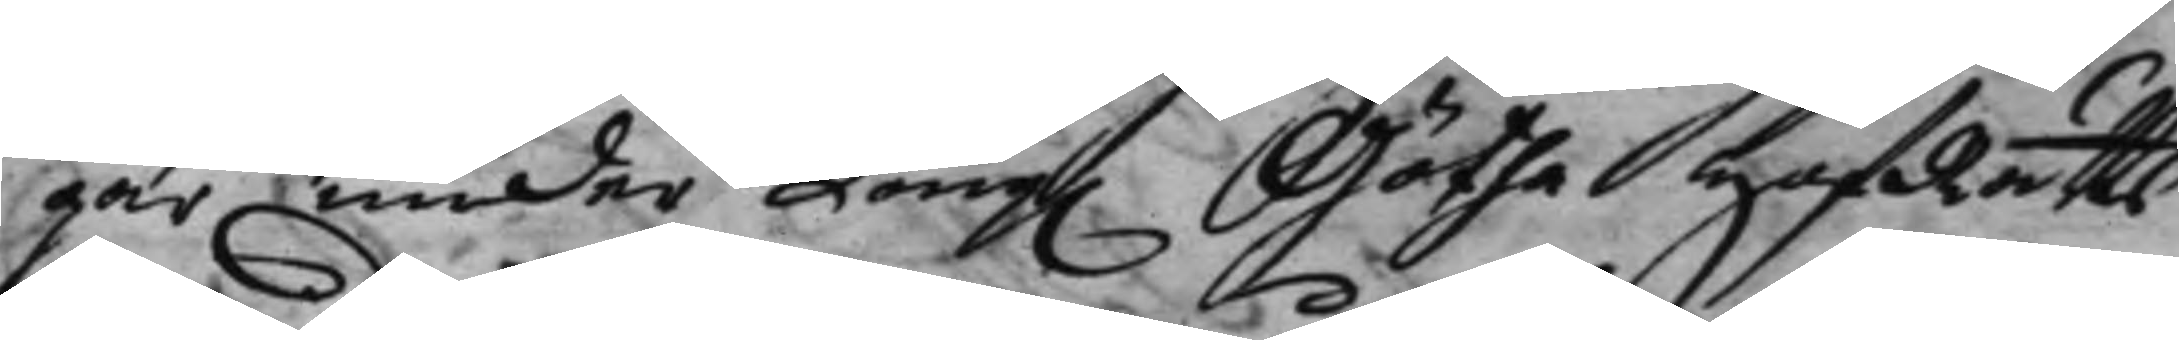gar under Kong. Götha HofRätts 
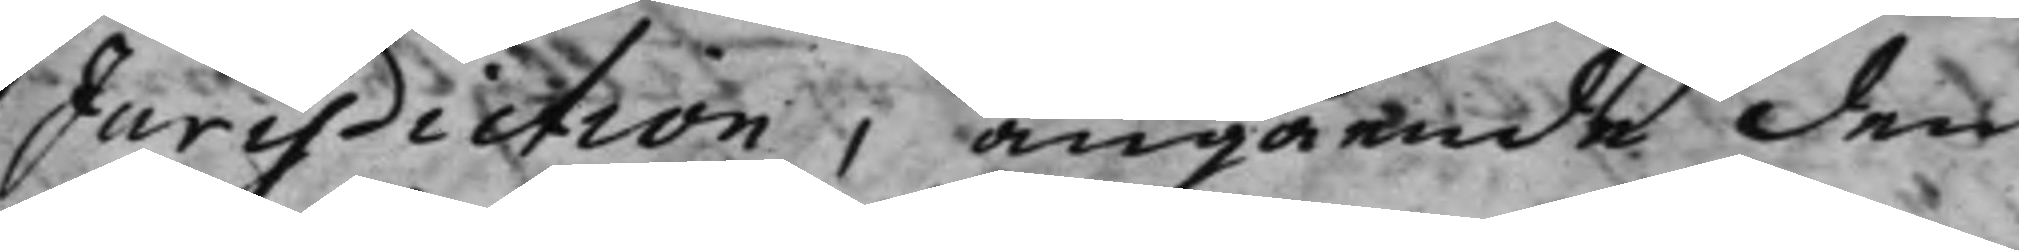Jurisdiction, angående den
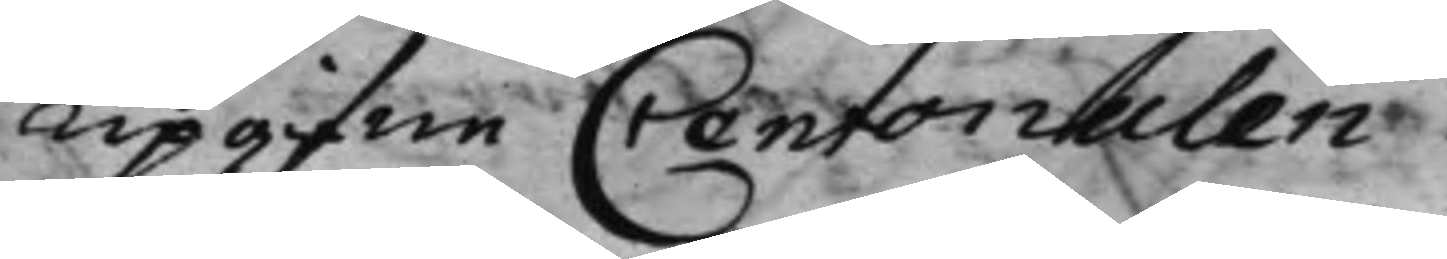Upgifne Contorialen.
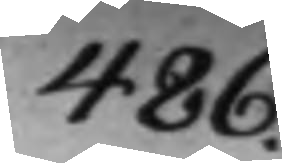486.
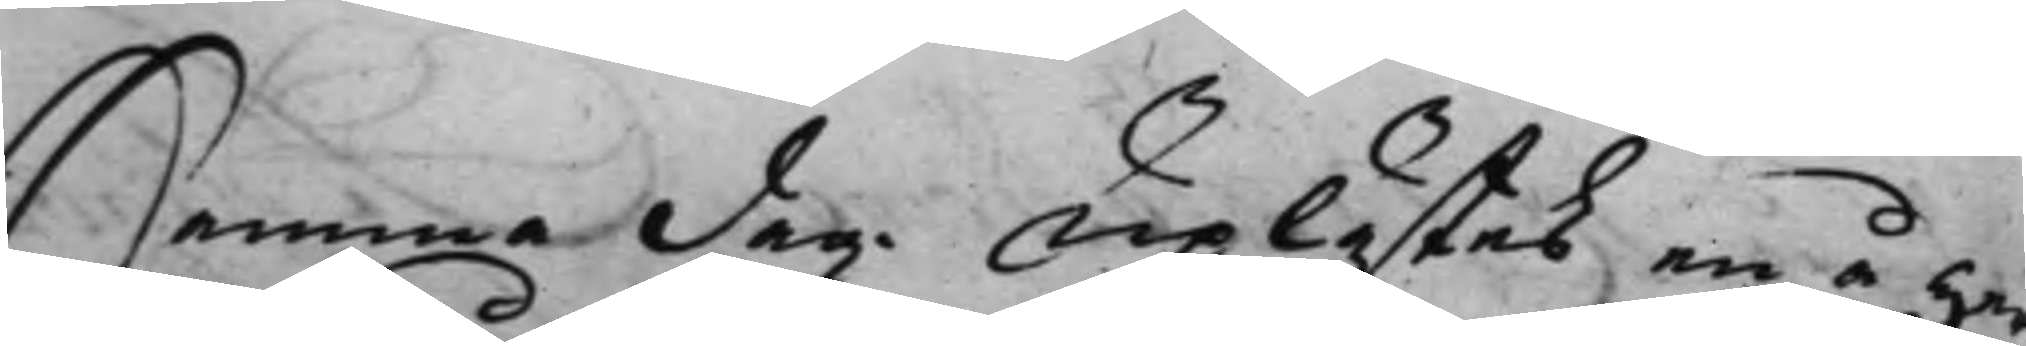Samma dag Uplästes en å herr
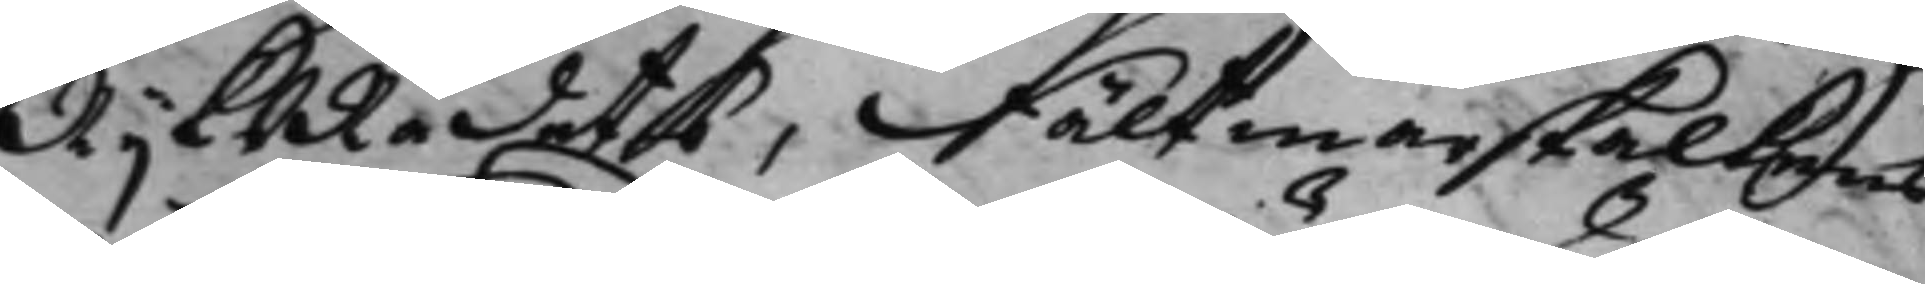RijksRådets, Fältmarskalkens 
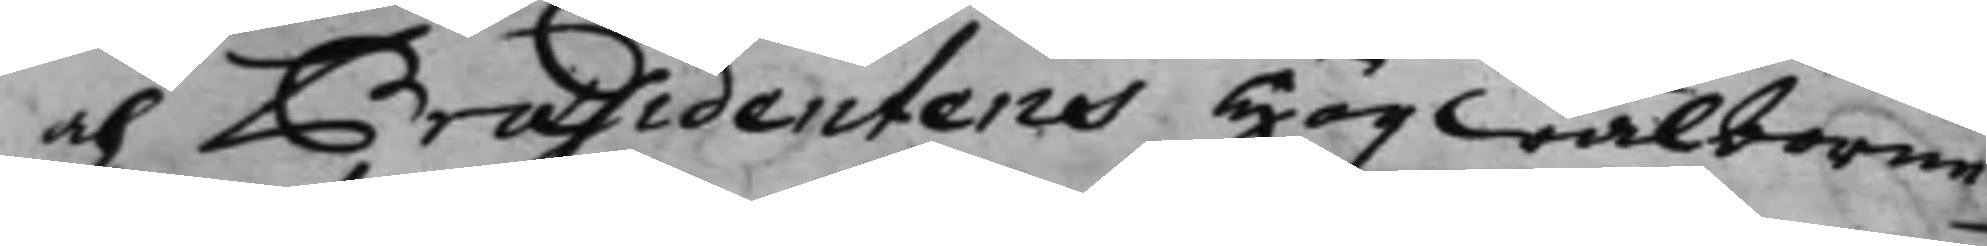och Præsidentens Högwälborne
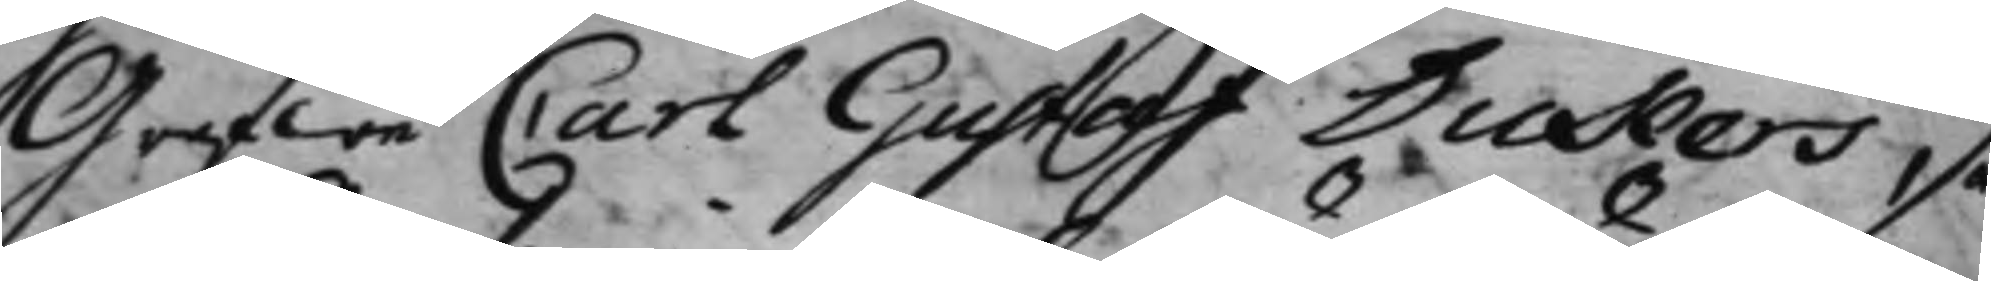Grefwe Carl Gustaf Dukers, så
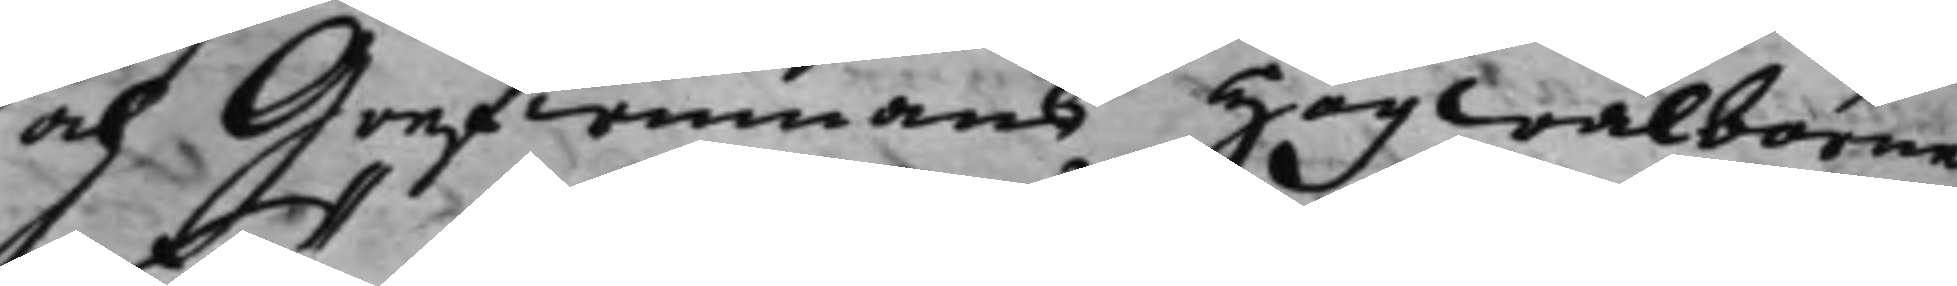och Grefwinnans Högwälborne
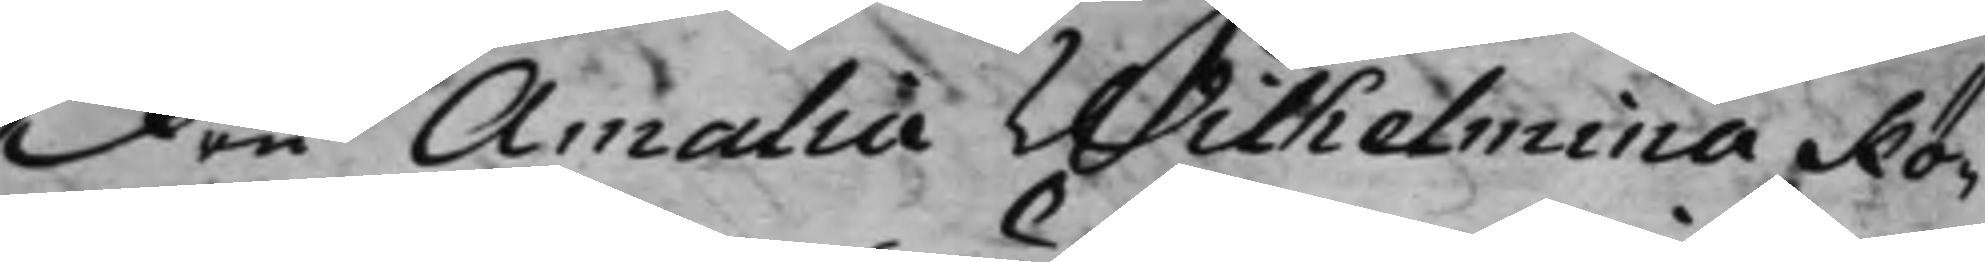Fru Amalia Withelmina Kö¬
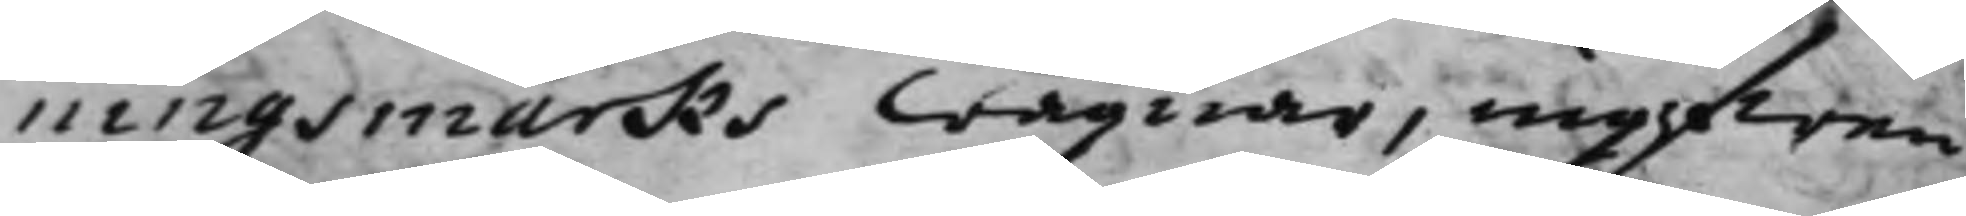ningsmarks wägnar, ingifwen
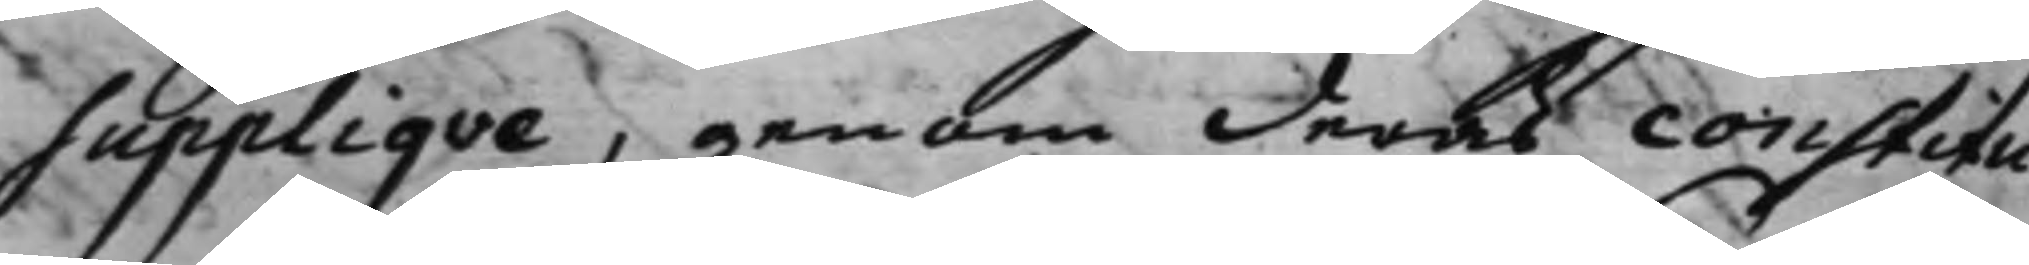Suppliqve, genom deras constitu¬
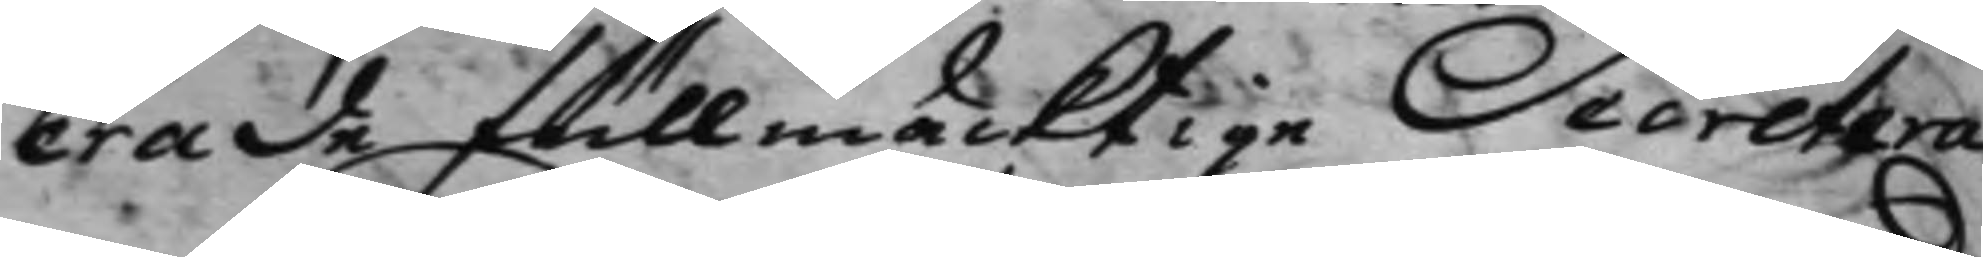erade fullmäcktige Secretera¬
